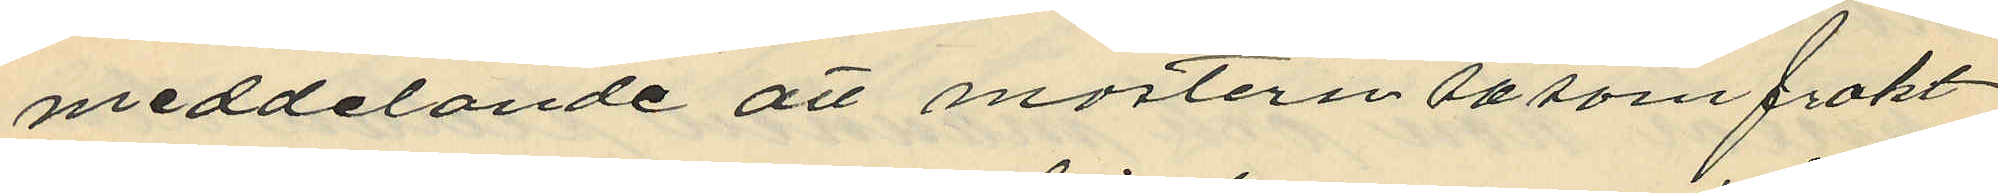meddelande att mostern såsom frakt¬
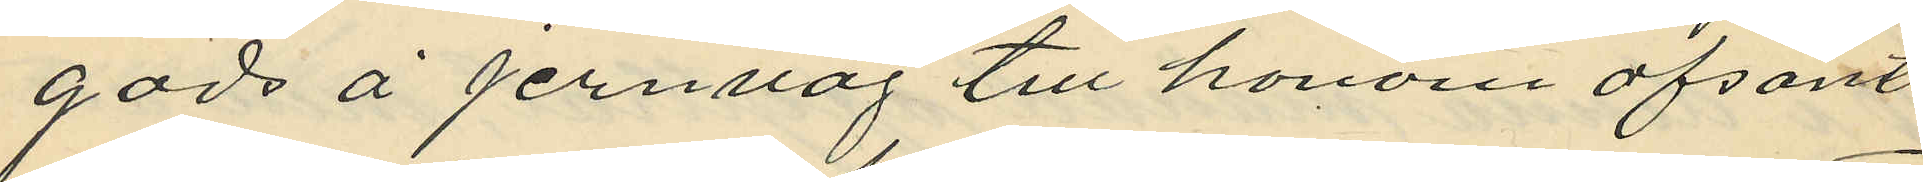gods å jernväg till honom afsänt
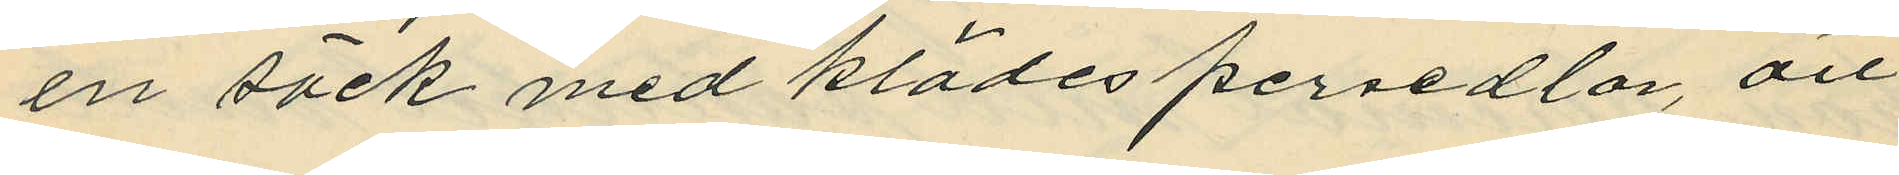en säck med klädespersedlar, att
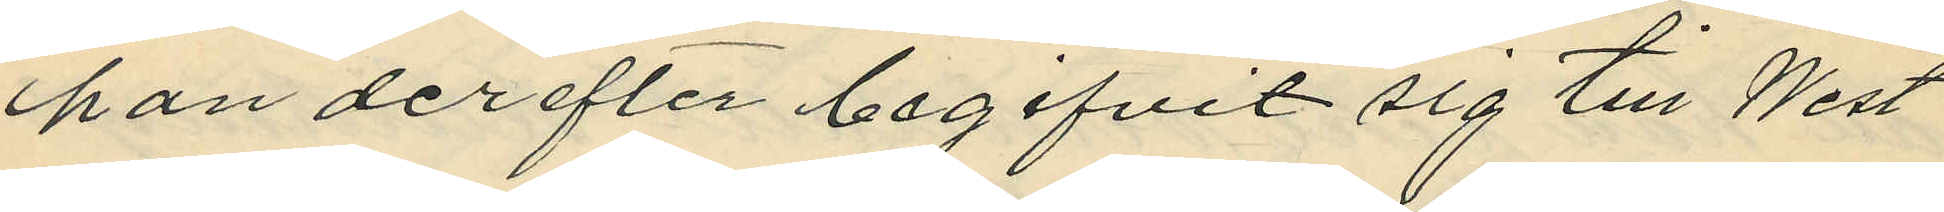han derefter begifvit sig till West
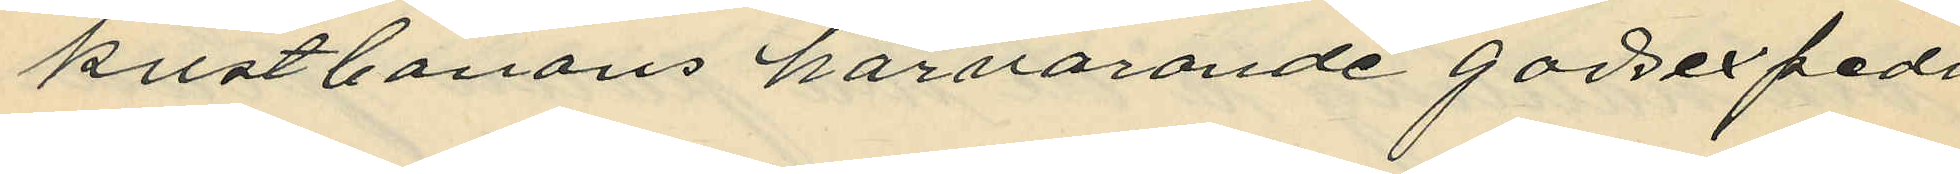kustbanans härvarande godsexpedi¬
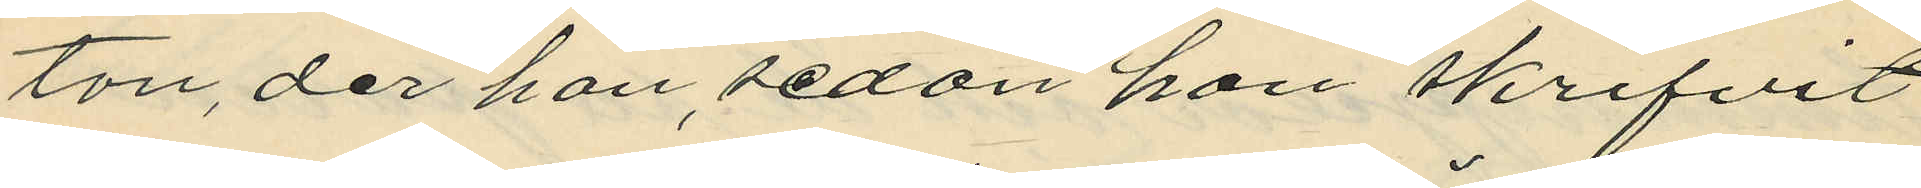ton, der han, sedan hon skrifvit
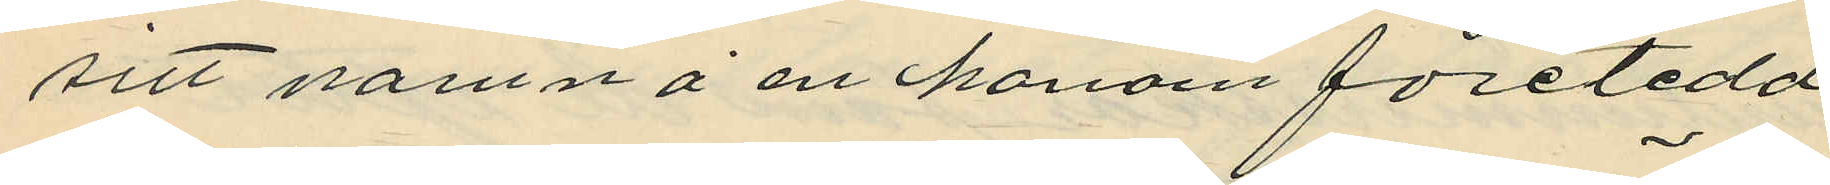sitt namn å en honom företedd
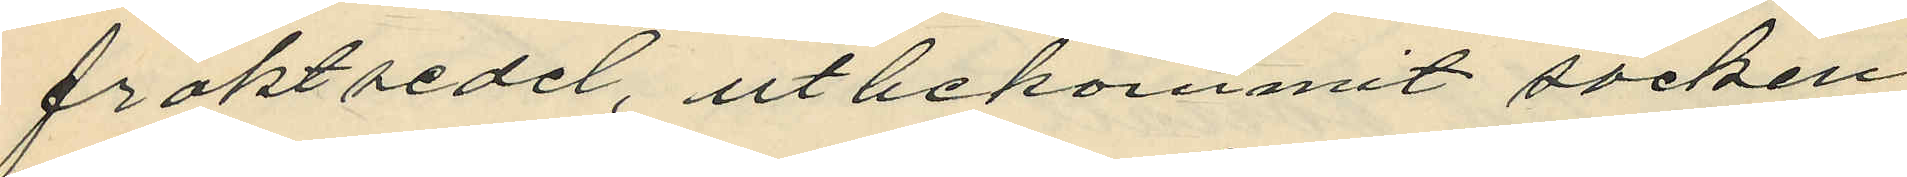fraktsedel, utbekommit säcken,
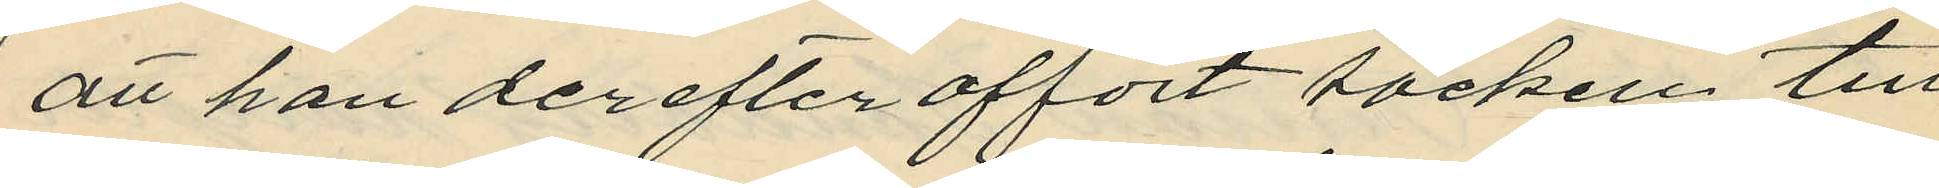att han derefter affört säcken till
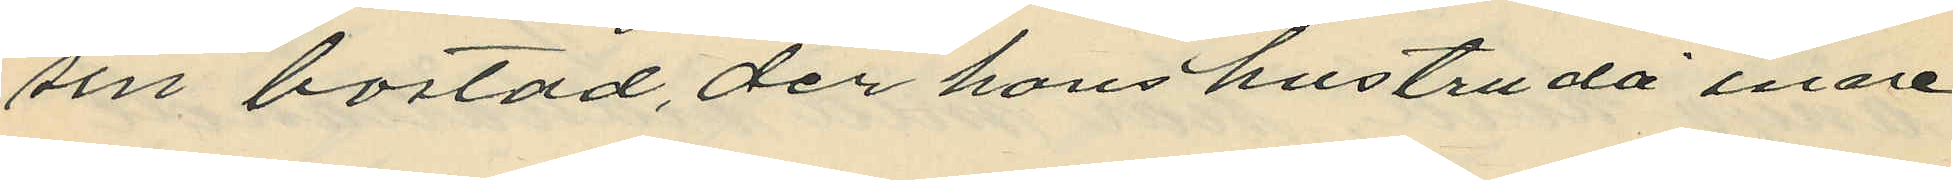sin bostad, der hans hustru då inne¬
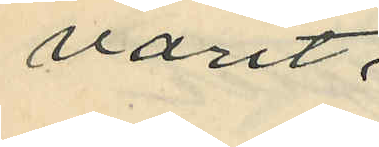varit,
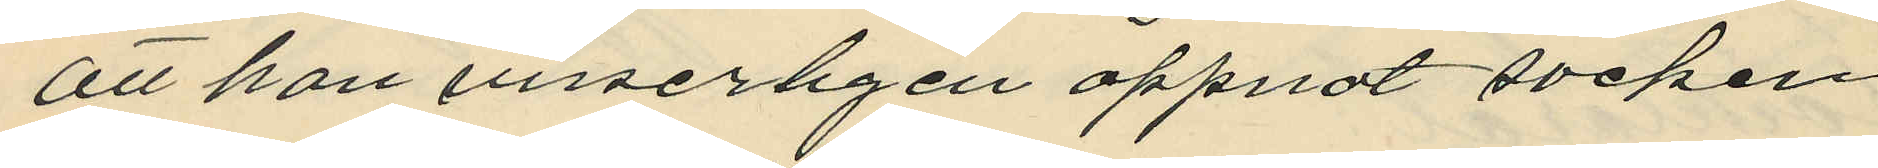att han visserligen öppnat säcken
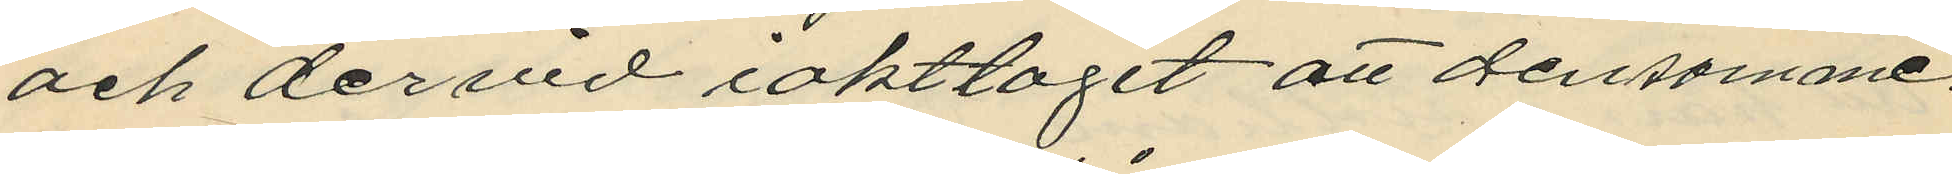och dervid iakttagit att densamme
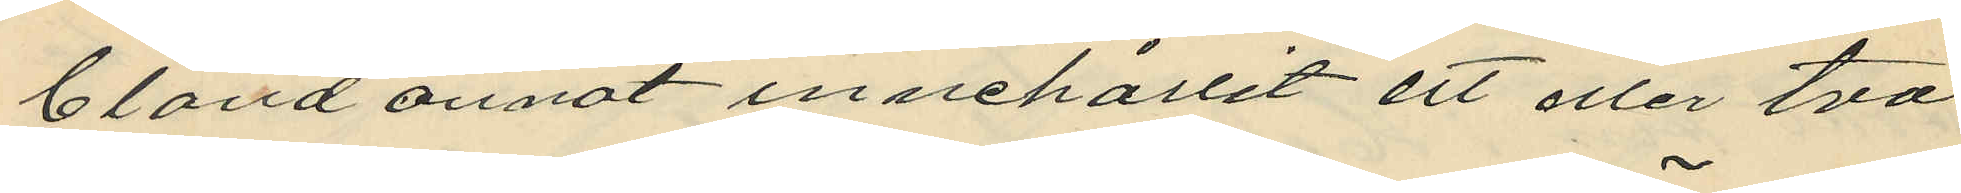bland annat innehållit ett eller två
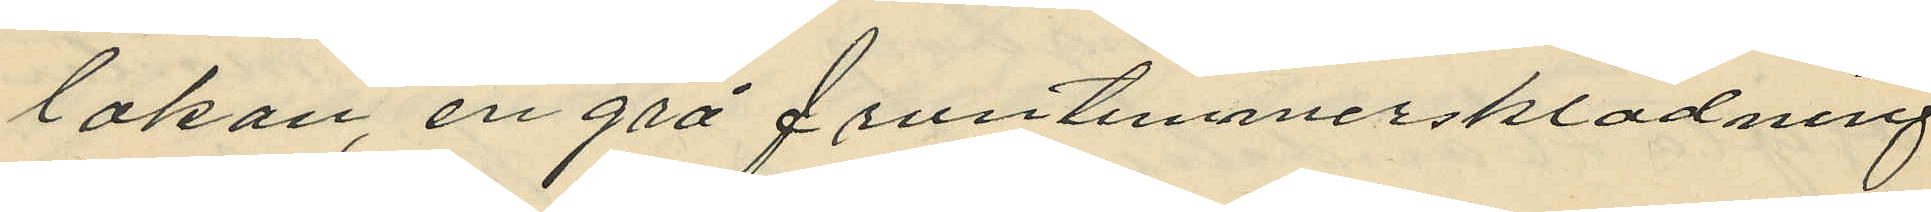lakan, en grå fruntimmersklädning
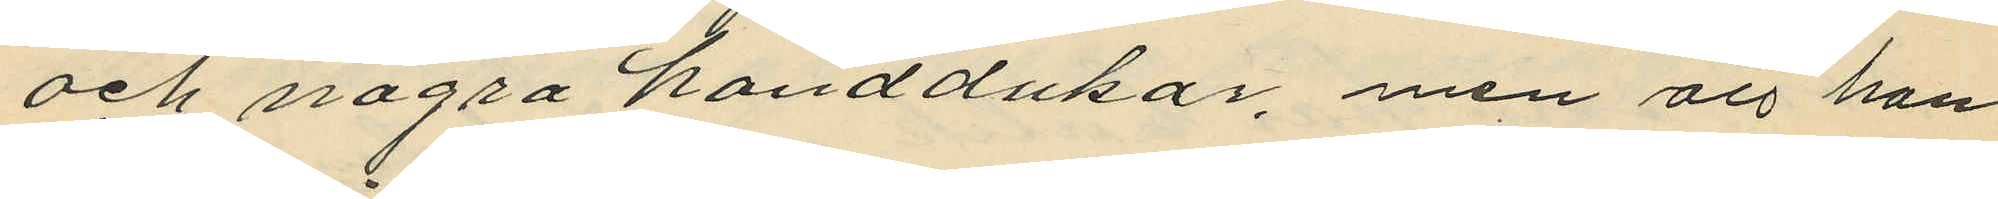och några handdukar, men att han
